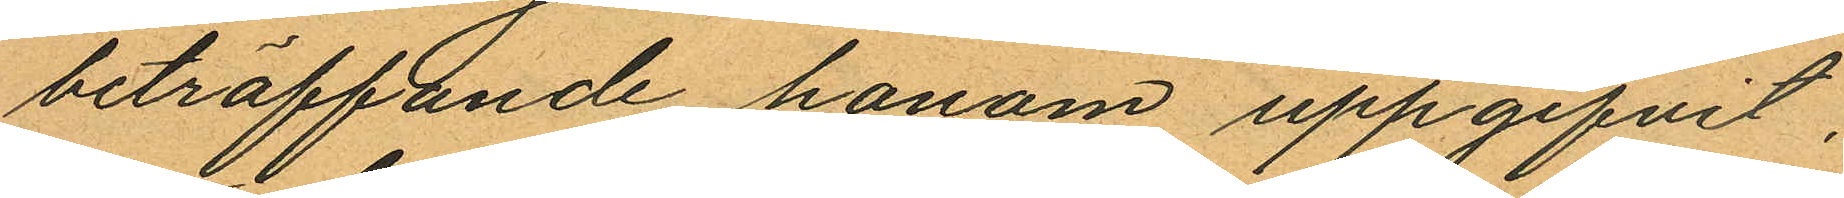beträffande honom uppgifvit,
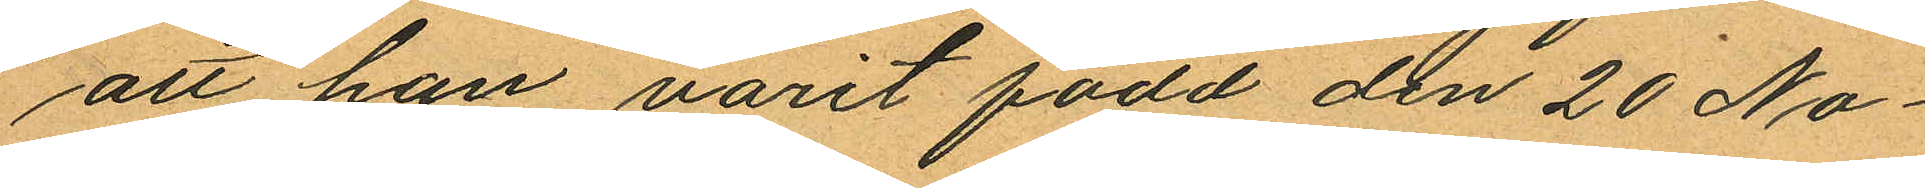att han varit född den 20 No¬
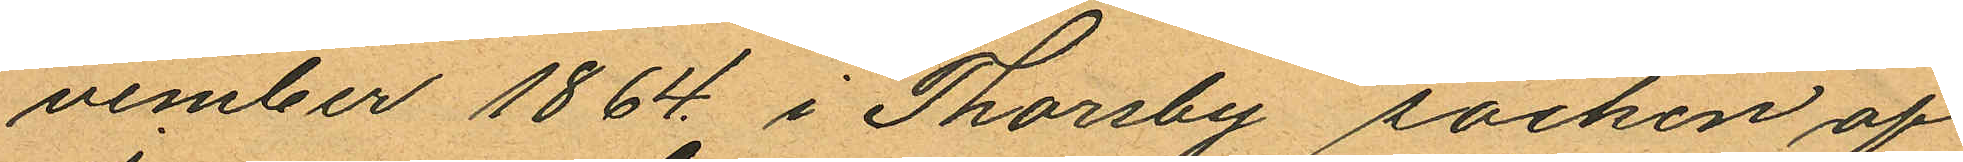vember 1864 i Thorsby socken af
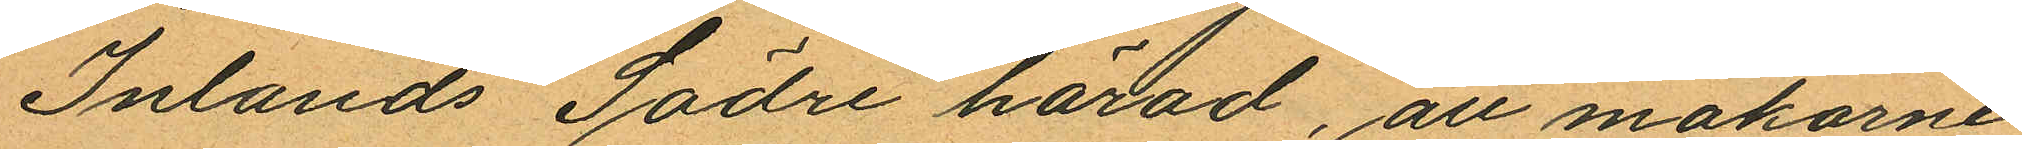Inlands Södre härad, att makarne
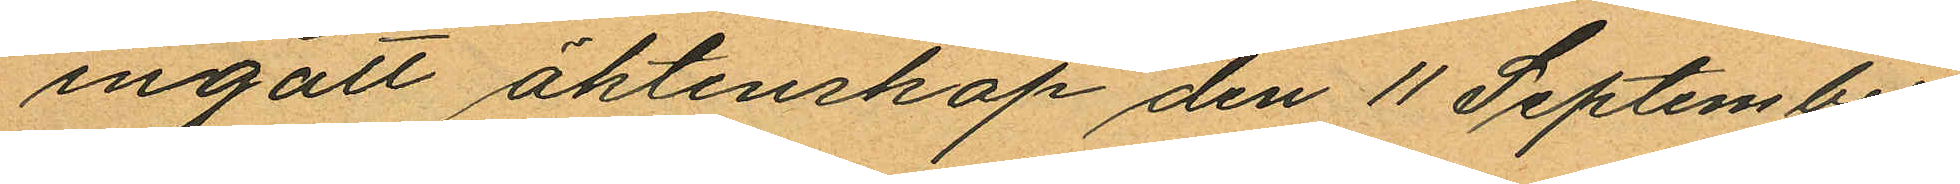ingått äktenskap den 11 September
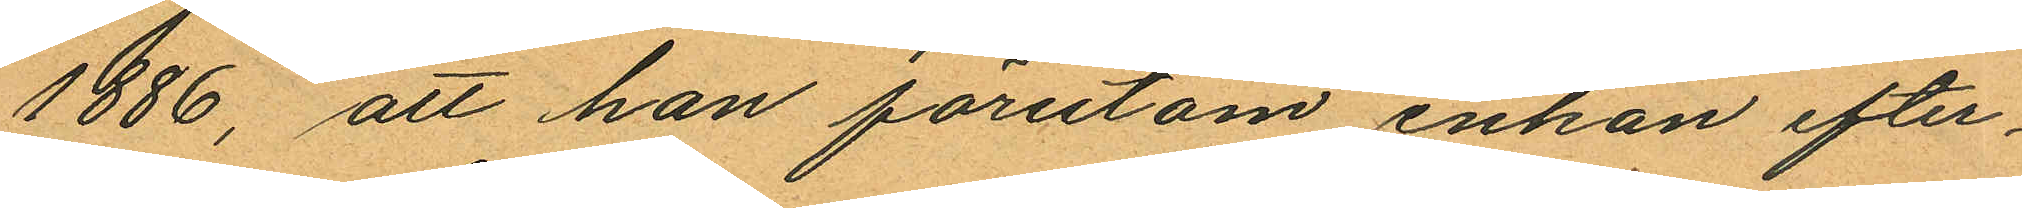1886, att han förutom enkan efter¬
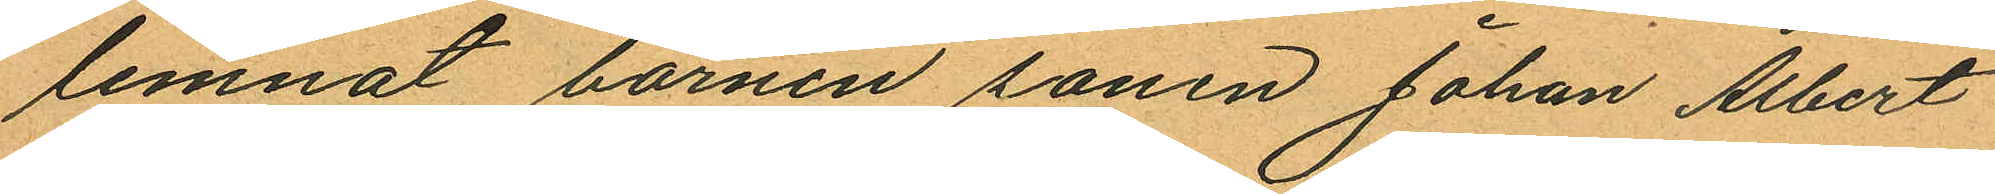lemnat barnen sonen Johan Albert
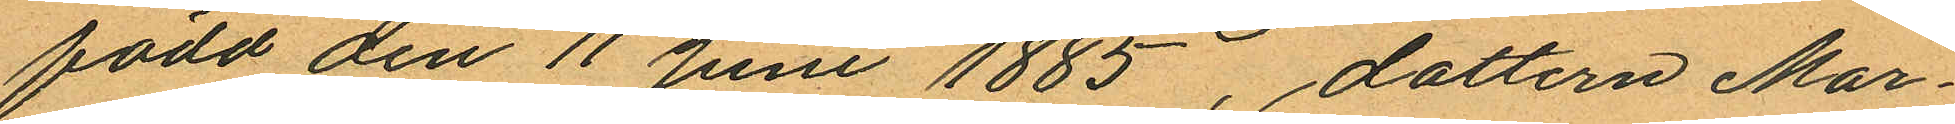född den 11 Juni 1885, dottern Mar¬
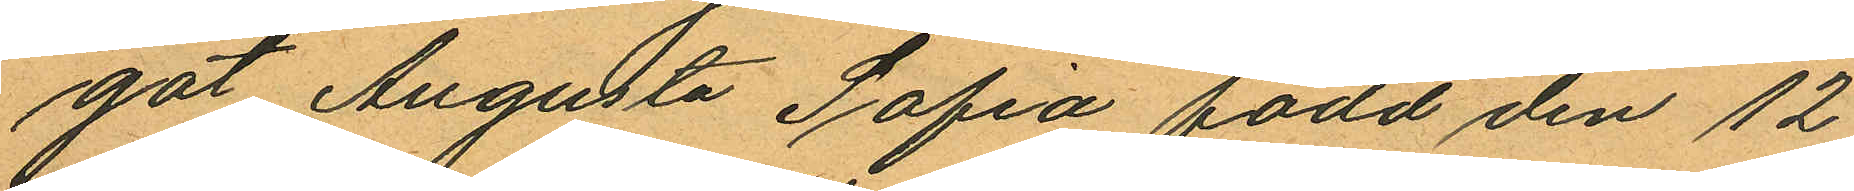got Augusta Sofia född den 12
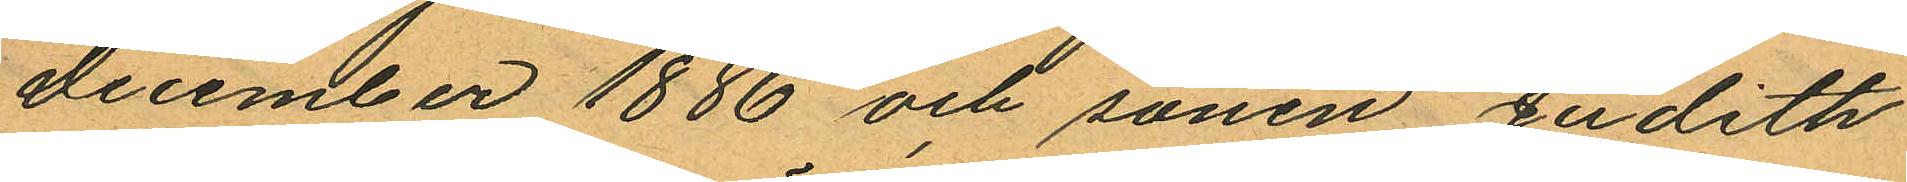December 1886 och sonen Judith
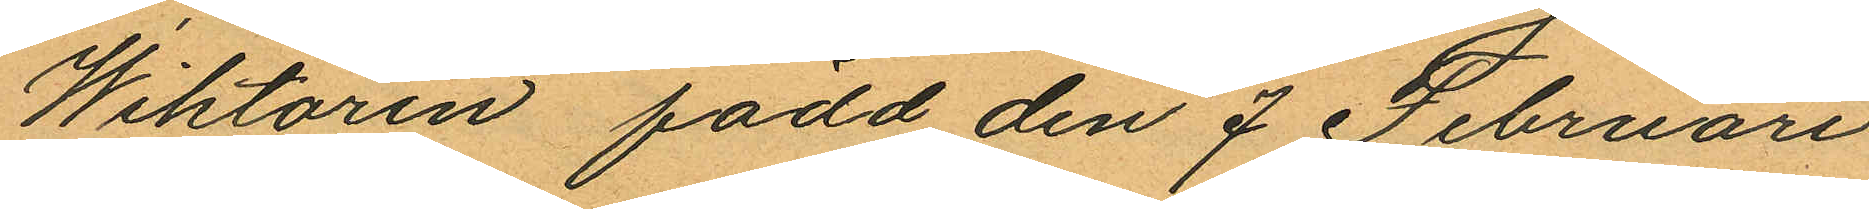Wiktorin, född den 7 Februari
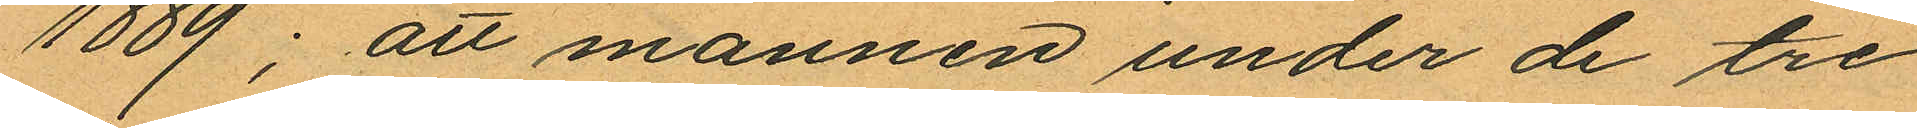1889; att mannen under de tre
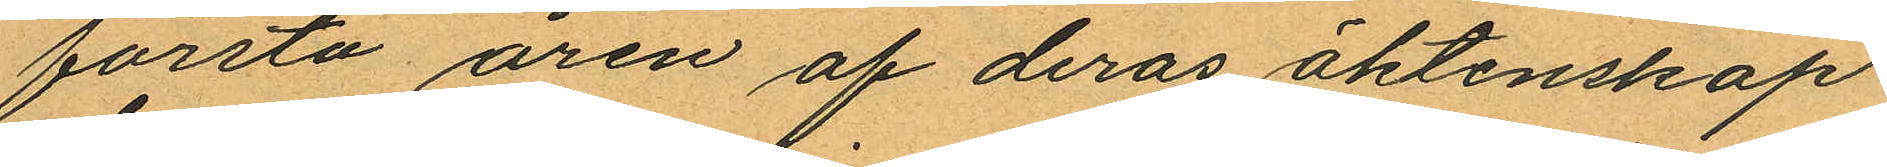första åren af deras äktenskap
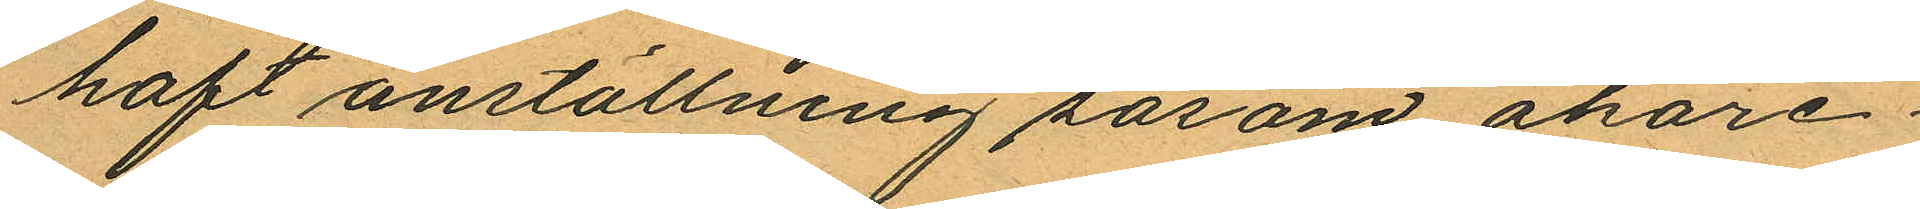haft anställning såsom åkare¬
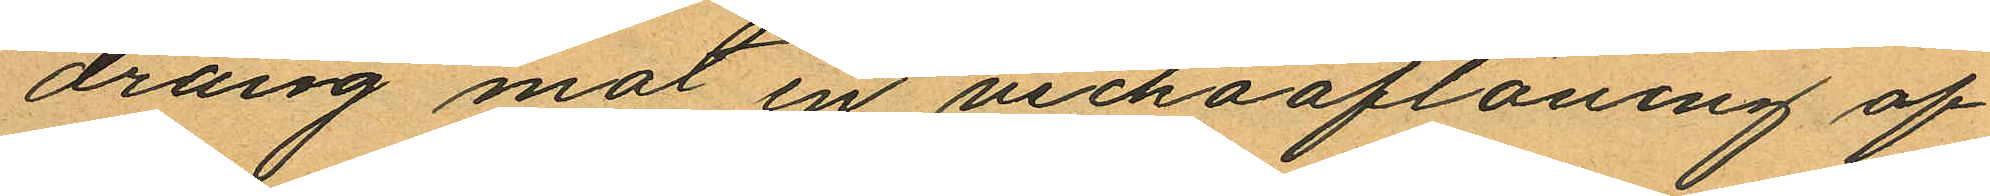dräng mot en veckoaflöning af
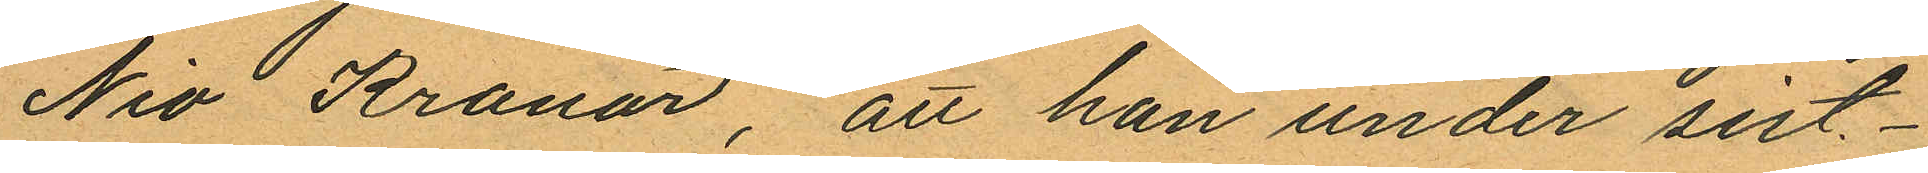Nio Kronor, att han under sist¬
